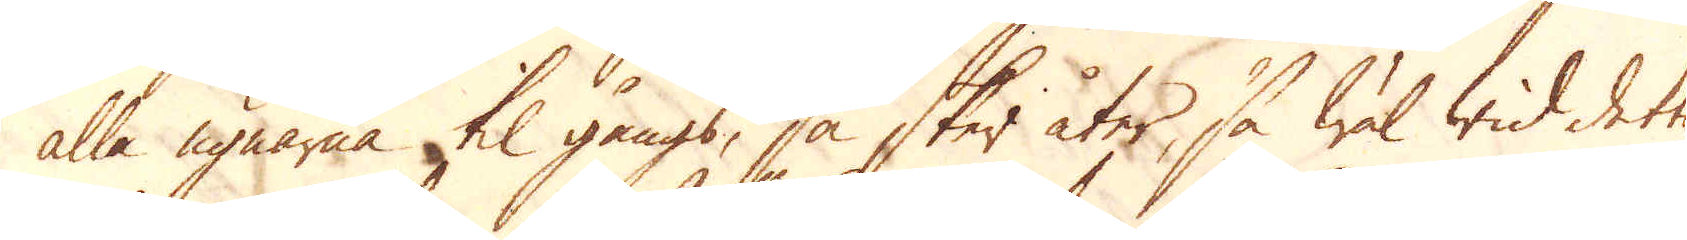alla ugnarna til gångs, så sker åter, så wäl wid detta
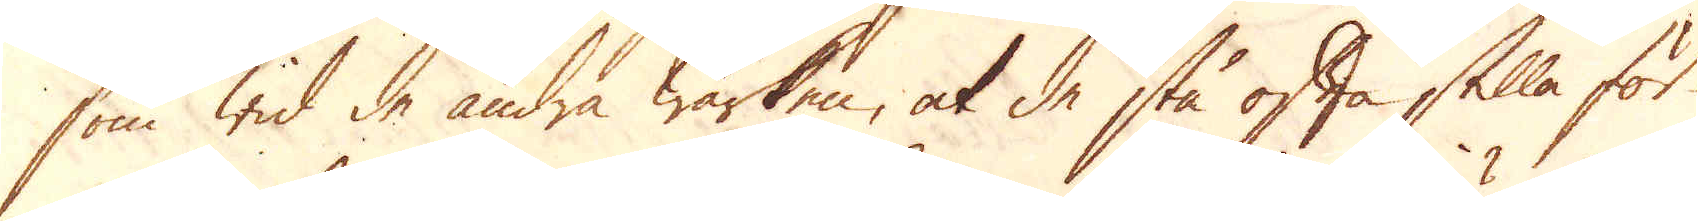som wid de andra Wärken, at de stå ofta stilla för
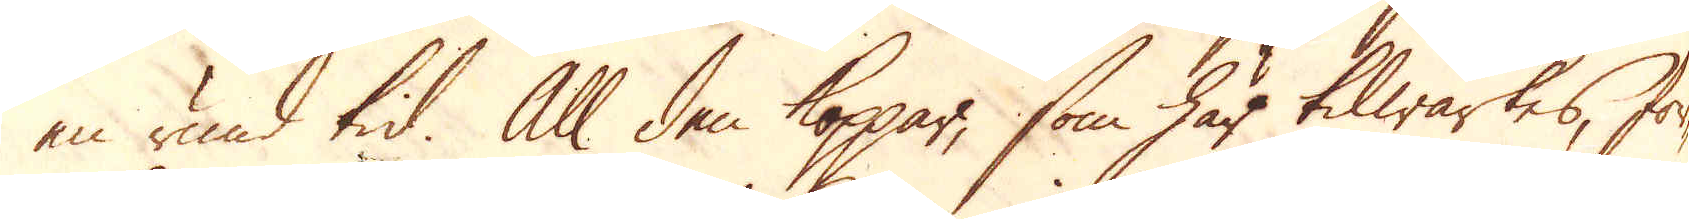en rund tid. All den koppar, som här tilwärkes, för-
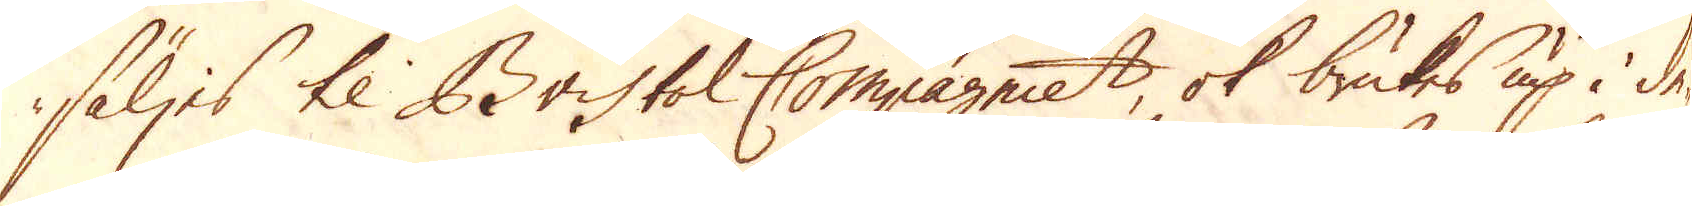säljes til Bristol Compagniet, ok brukes up i de-
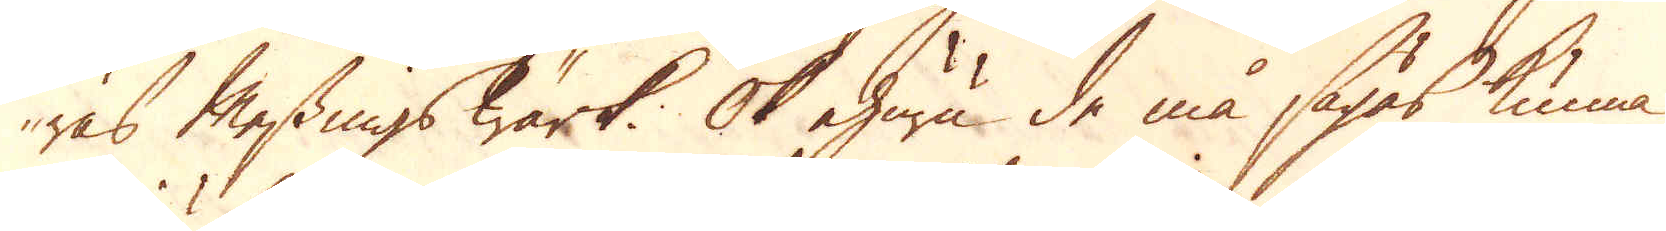ras Messingswärk. Ok ehuru de må sägas kunna
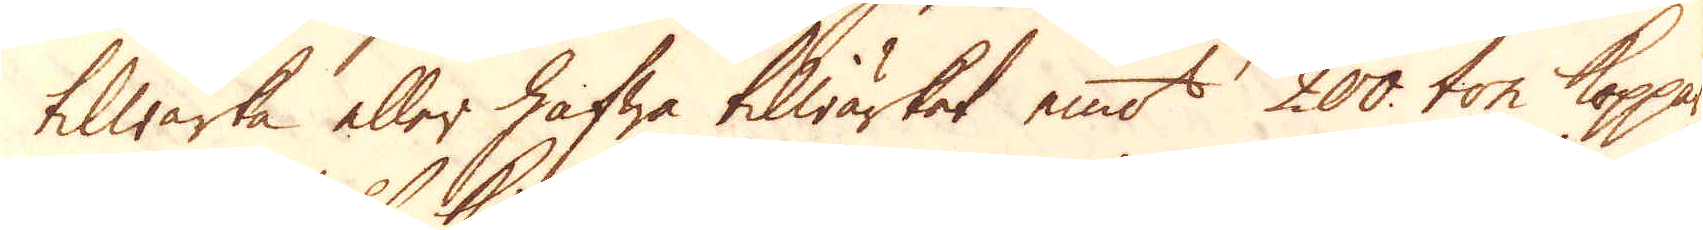tilwärka eller hafwa tilwärket emot 200 ton koppar
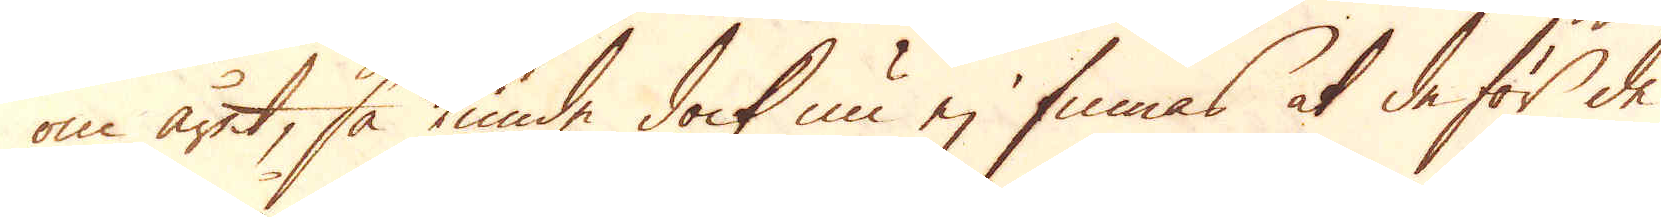om året, så kunde dock nu ej finnas at de för de
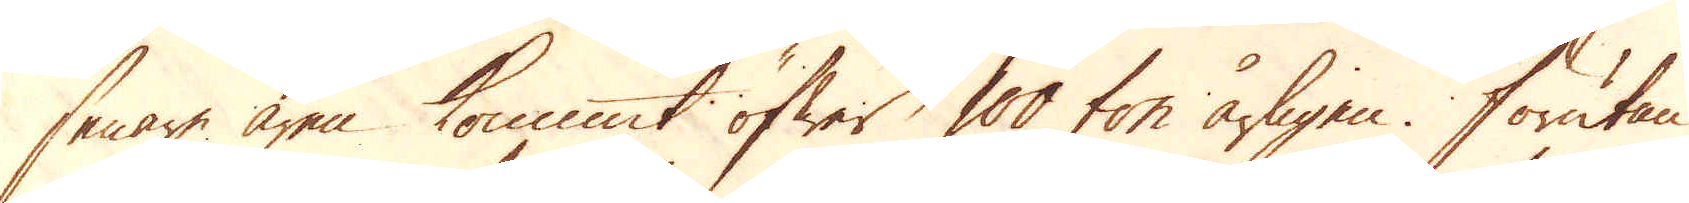senare åren kommit öfwer 100 ton årligen. Förutan
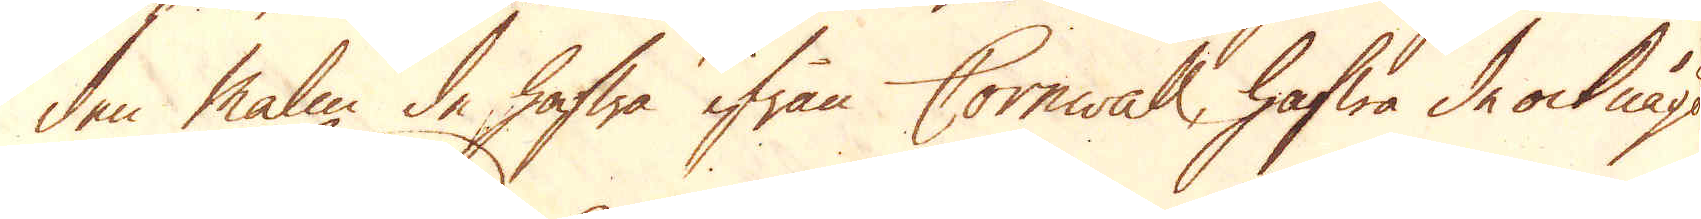den malm de hafwa ifrån Cornwall, hafwa de ock något
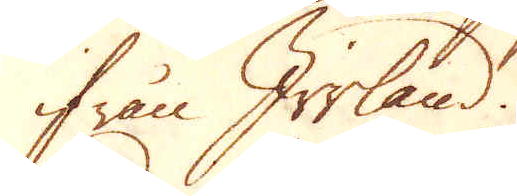ifrån Irrland.
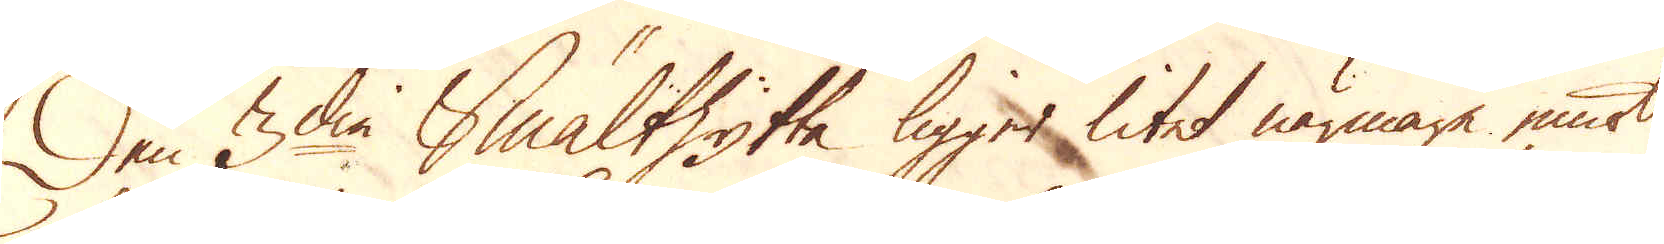Den 3die Smälthytta ligger litet närmare emot
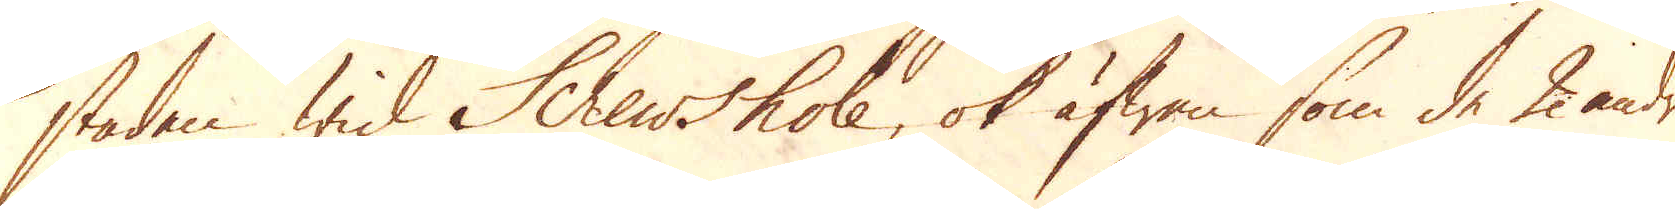staden wid Schewshole, ok äfwen som de 2 andra
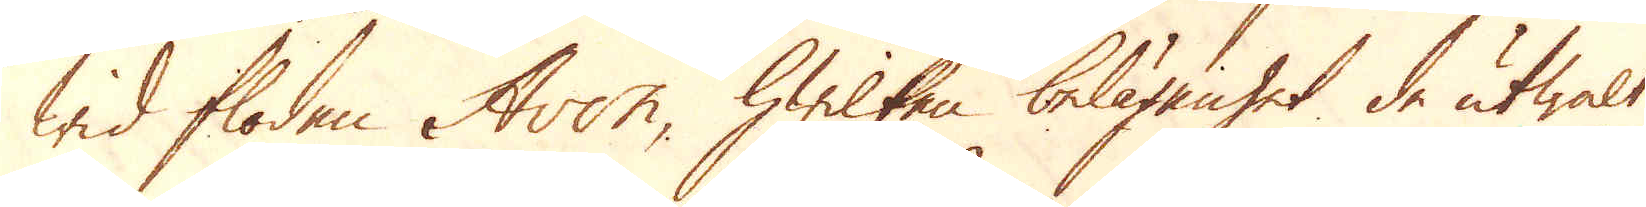wid floden Avon, hwilken belägenhet de utwalt
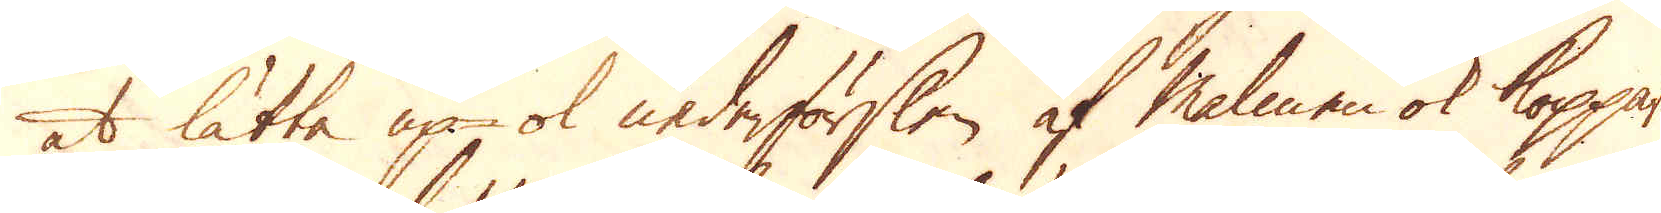at lätta up-, ok nederförslen af Malmen ok kopparen;
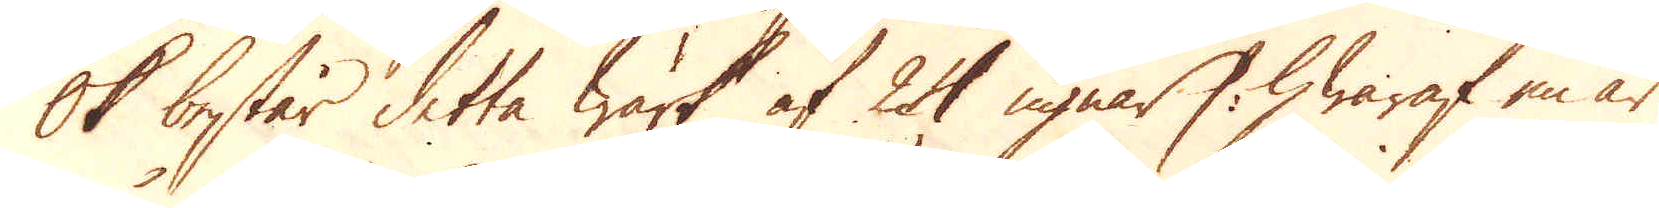Ok består detta Wärk af 24 ugnar /: hwaraf en är
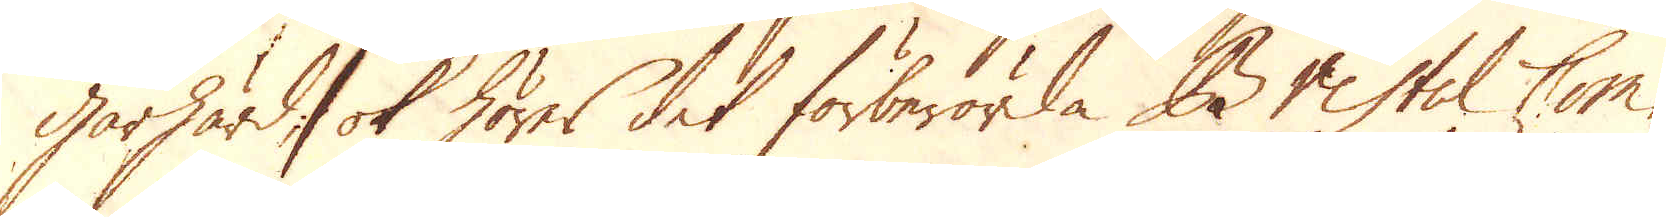gårhärd :/ ok hörer det förberörda Bristol Com-
